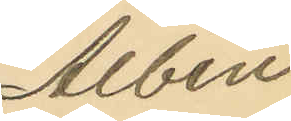Albin
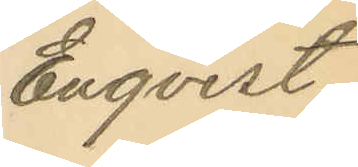Enqvist
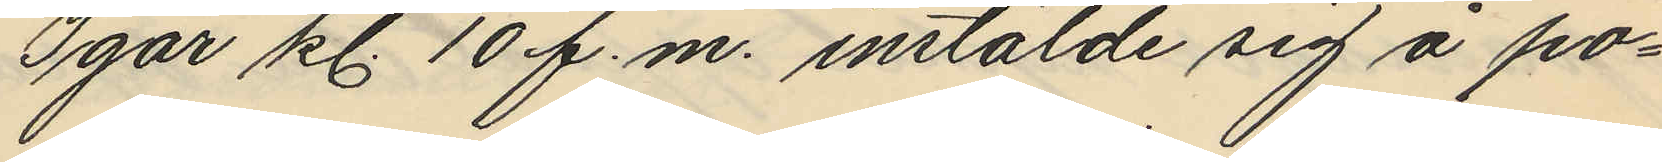Igår kl. 10 f.m. instälde sig å po¬
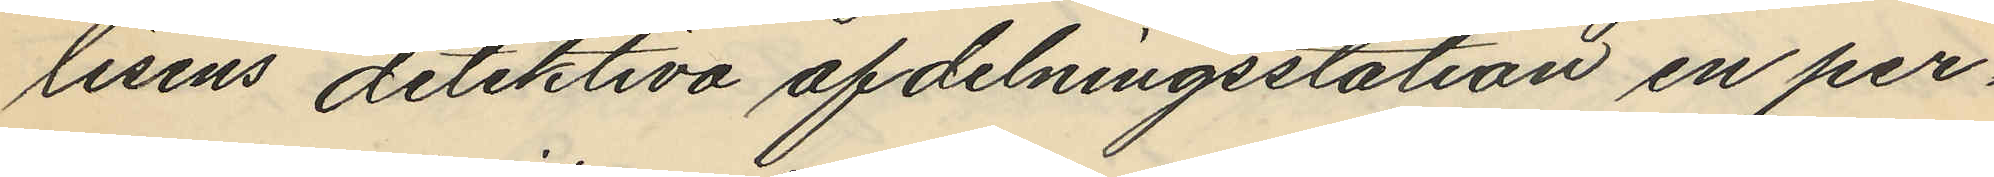lisens detektiva afdelningsstation en per¬
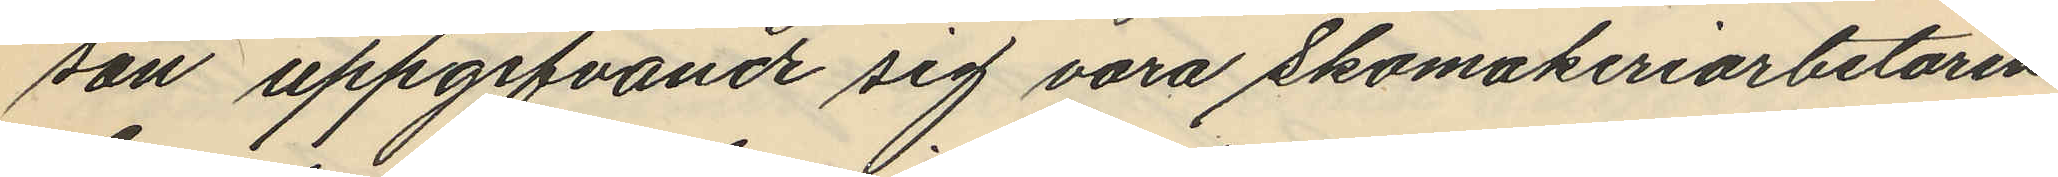son uppgifvande sig vara skomakeriarbetaren
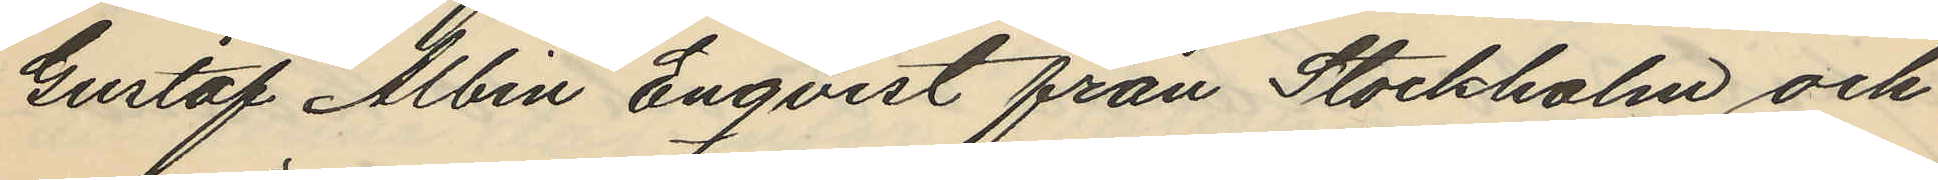Gustaf Albin Enqvist från Stockholm och
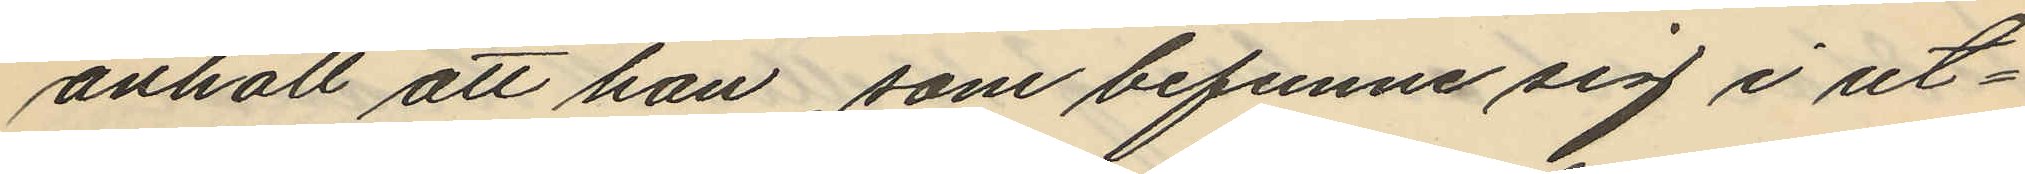anhöll att han som befunni sig i ut¬
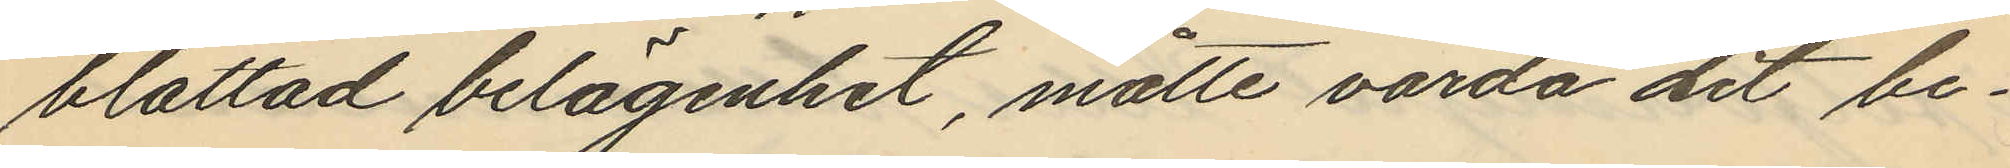blottad belägenhet, måtte varda dit be¬
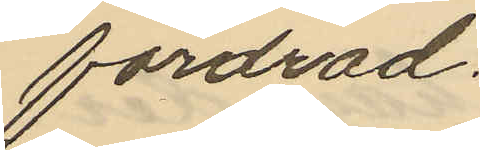fordrad.
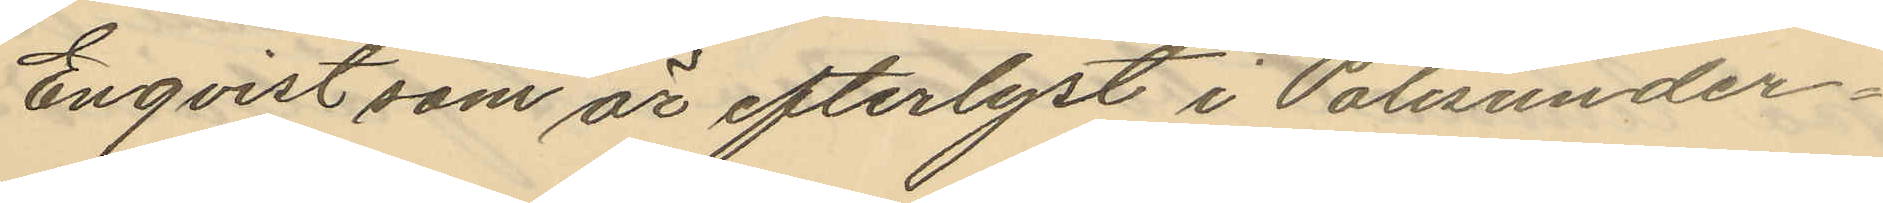Enqvist som är efterlyst i Polisunder¬
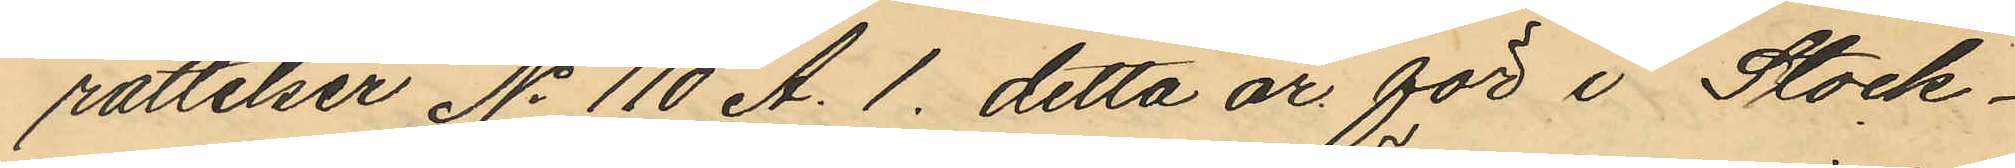rättelser No 110 A. 1. detta år för i Stock¬
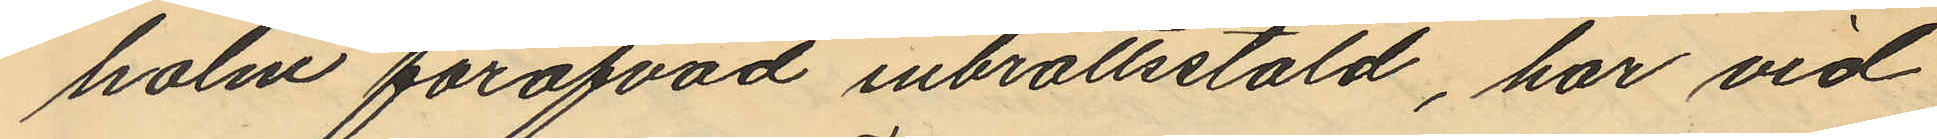holm föröfvad inbrottsstöld, har vid
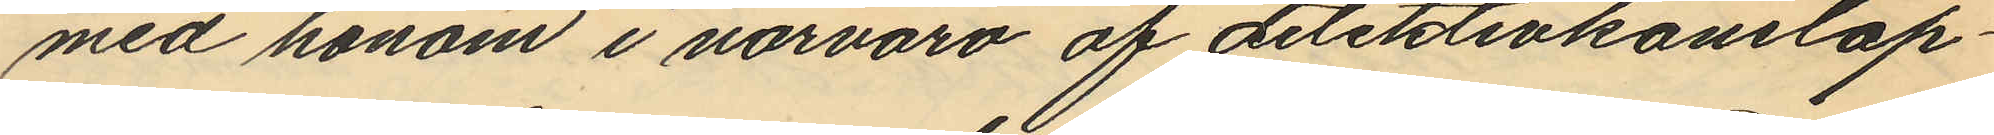med honom i närvaro af detektivkonstap¬
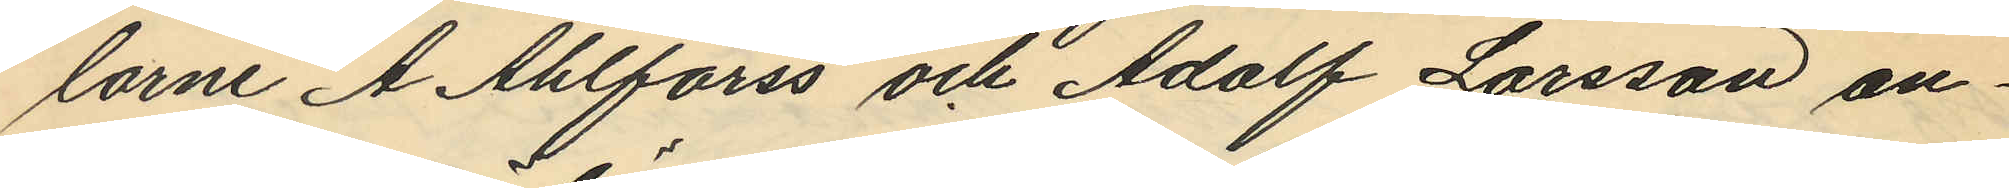larne A. Ahlforss och Adolf Larsson an¬
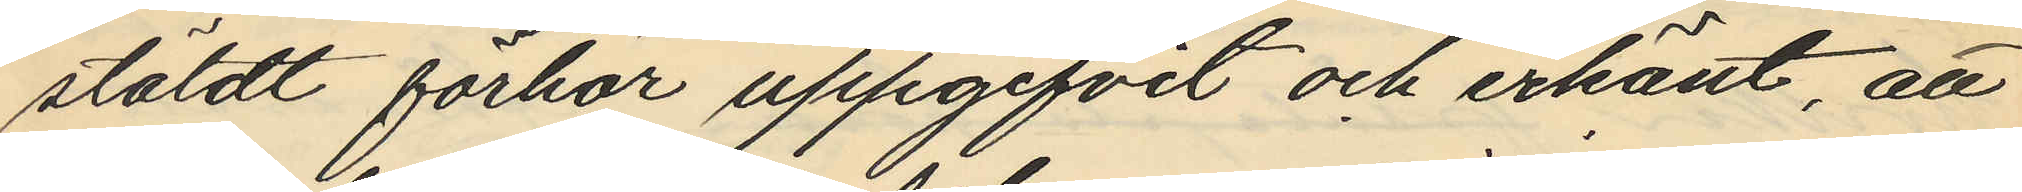stäldt förhör uppgifvit och erkänt, att
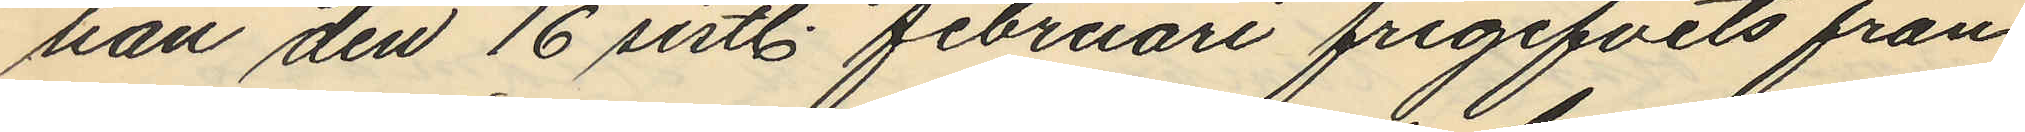han den 16 sistl. februari frigifvits från
